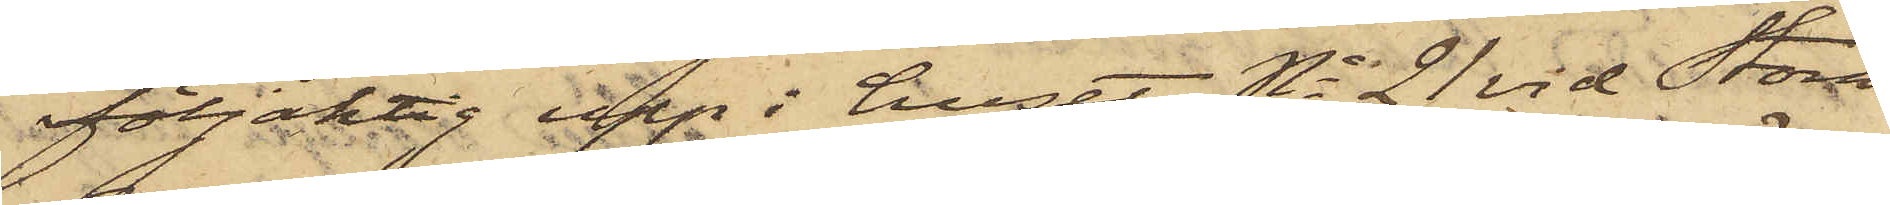följaktig upp i huset No 21 vid Stora
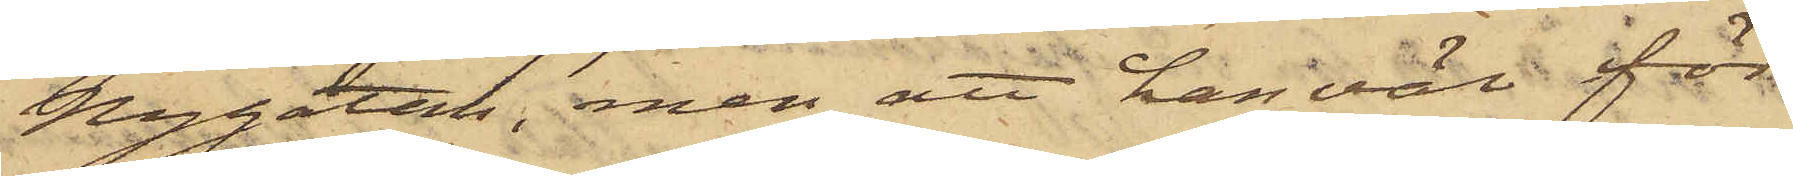Nygatan, men att han väl för¬
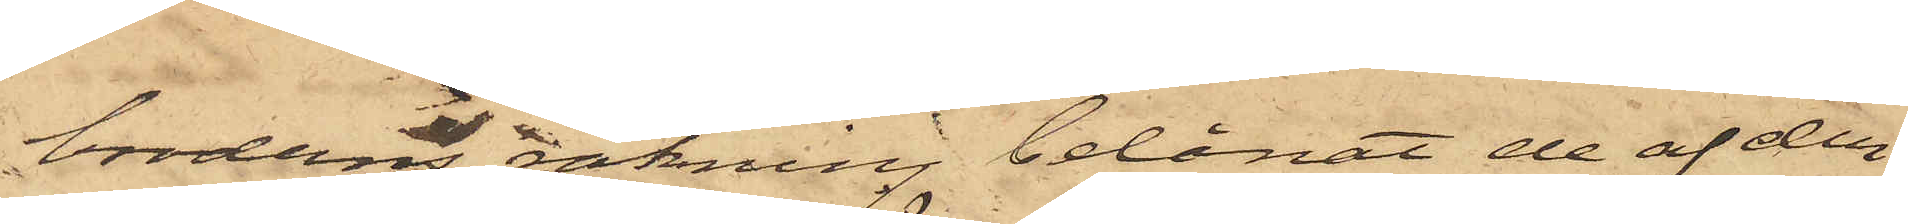broderns räkning belånat de af den¬
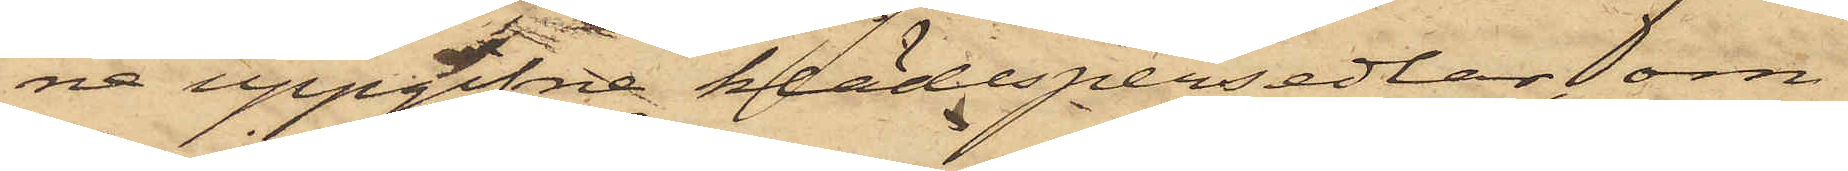na uppgifne klädespersedlar, om
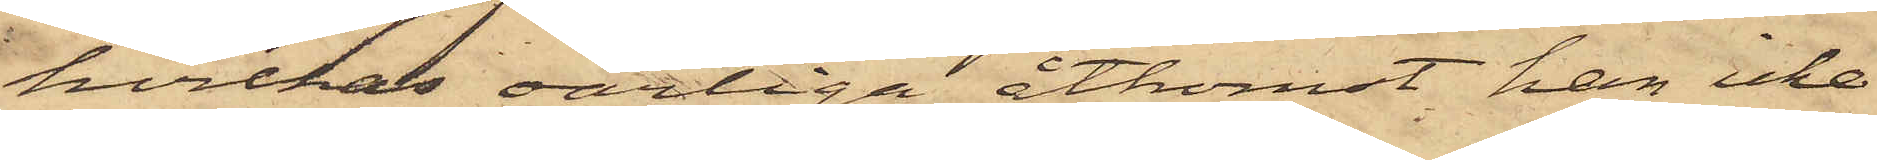hvilkas oärliga åtkomst han icke
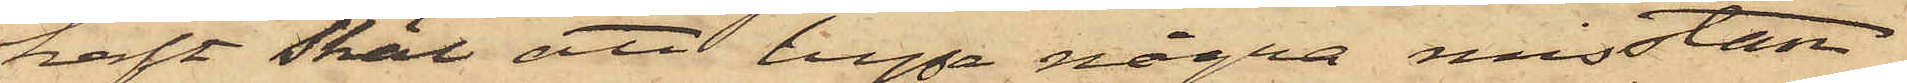haft skäl att hysa några misstan¬
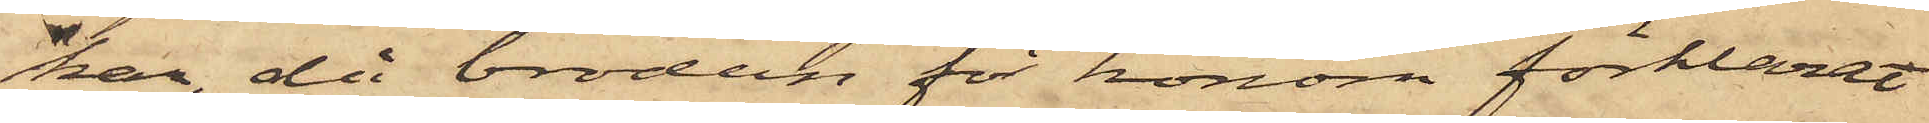kar, då brodern för honom förklarat
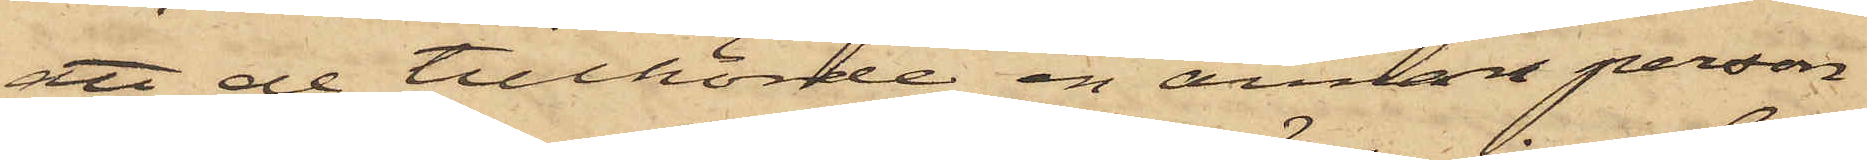att de tillhörde en annan person
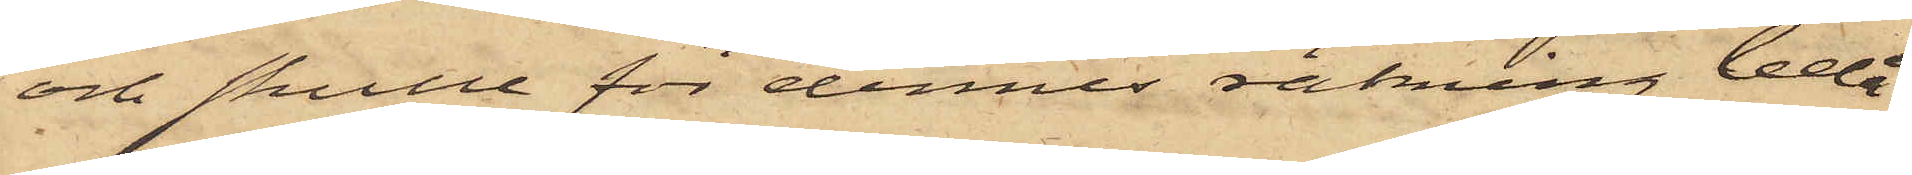och skulle för dennes räkning belå¬
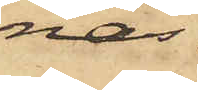nas.
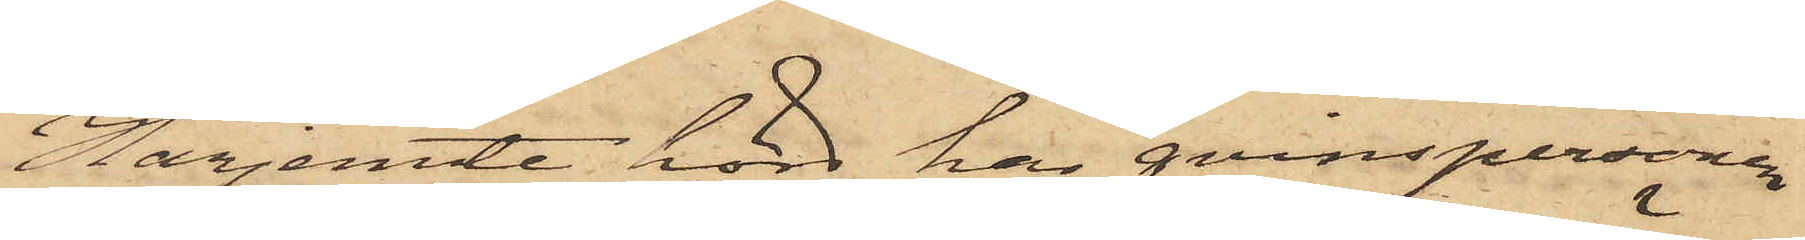Härjemte hörd har qvinspersonen
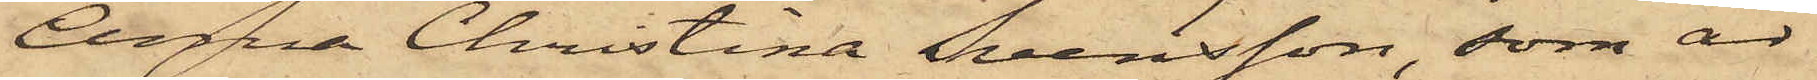Anna Christina Svensson, som är
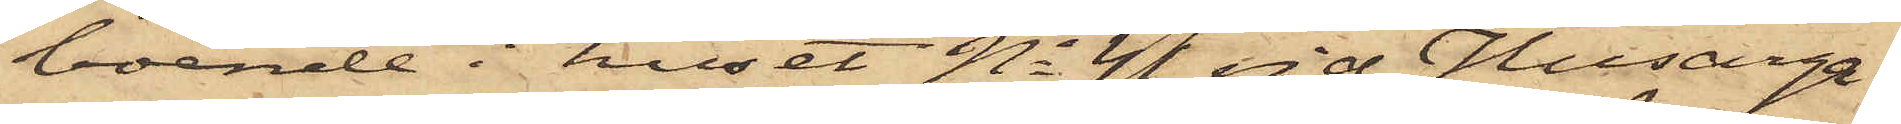boende i huset No 44 vid Husarga¬
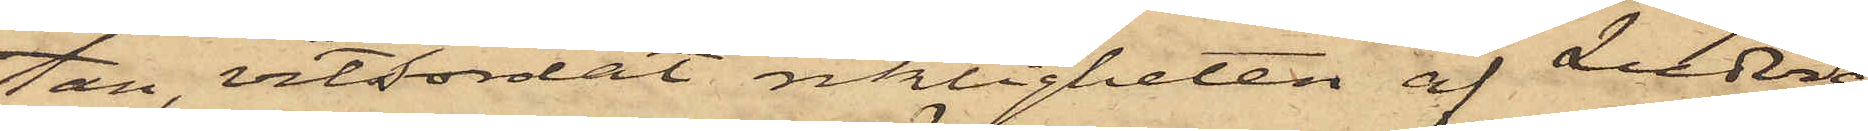tan, vitsordat riktigheten af Ludvig
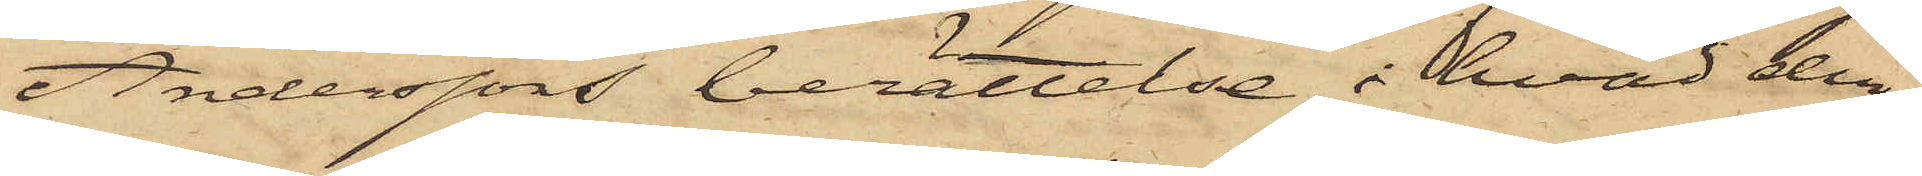Anderssons berättelse i hvad den
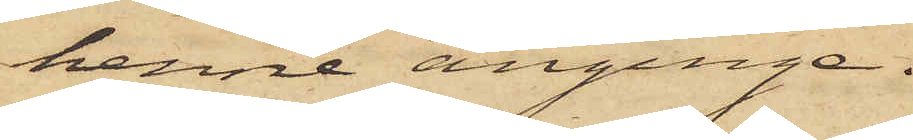henne anginge.
